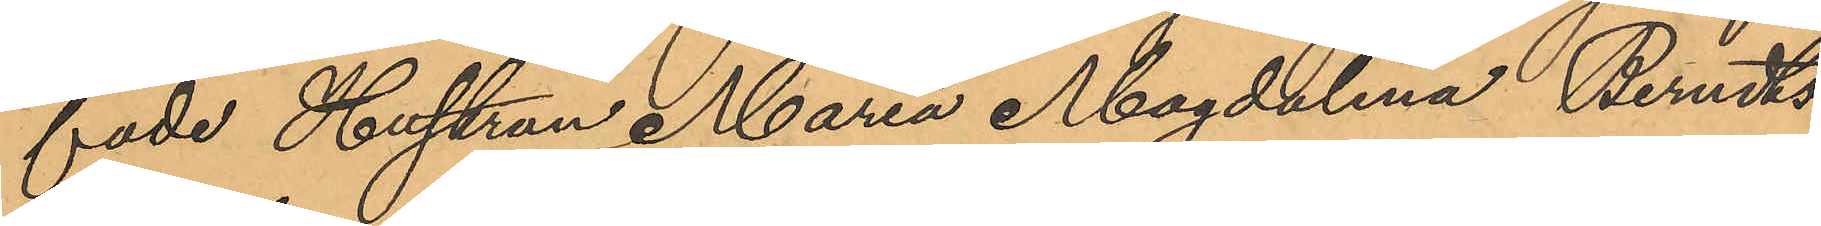fade Hustrun Maria Magdalena Berndts¬
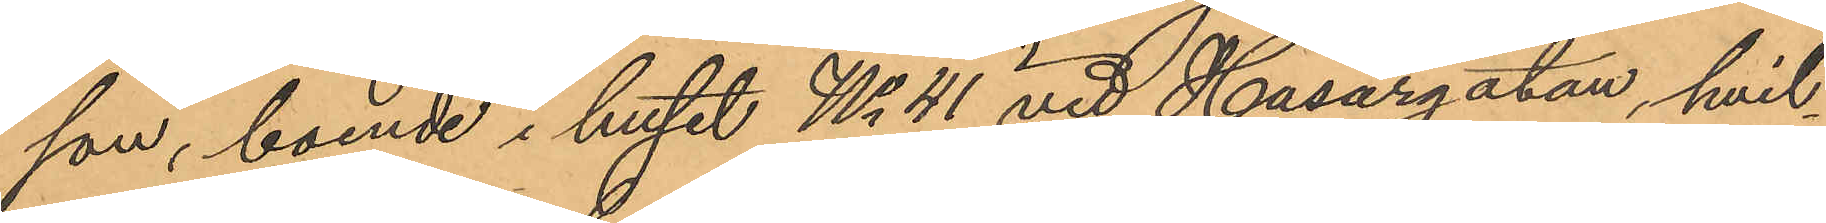son, boende i huset No 41 vid Husargatan, hvil¬
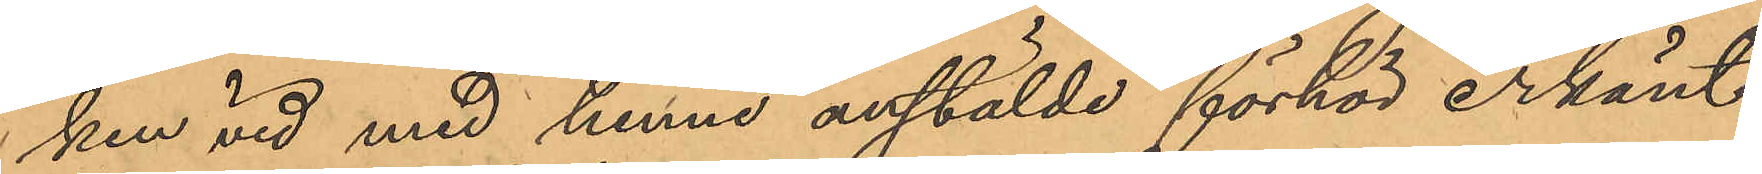ken vid med henne anstälde förhör erkänt
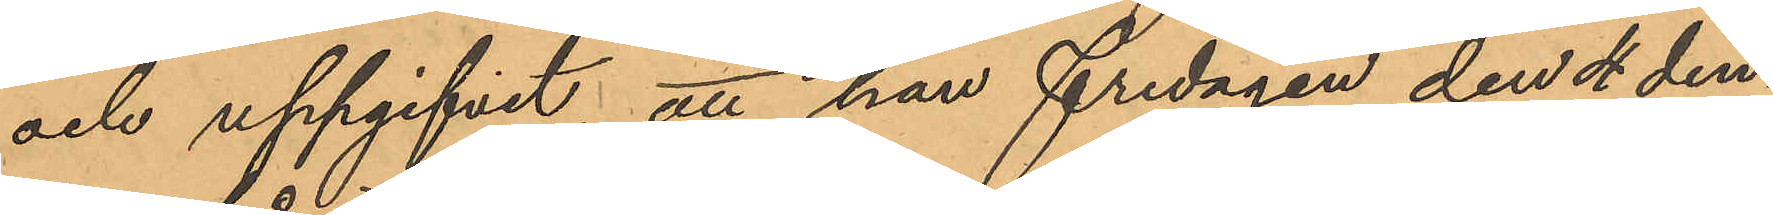och uppgifvit att hon fredagen den 4 den¬
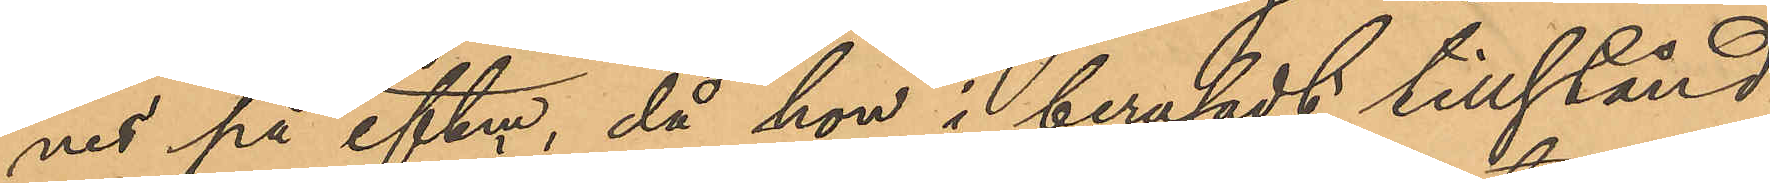nes på eftm, då hon i berusadt tillstånd
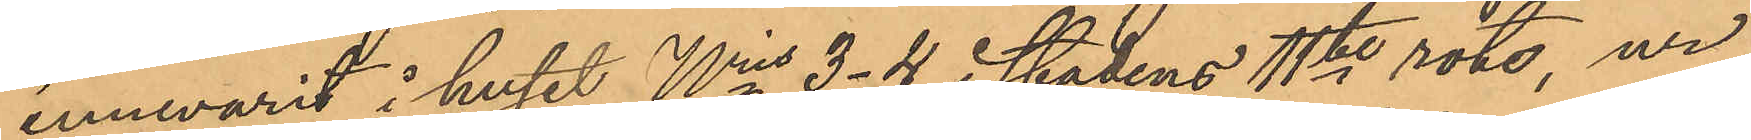innevarit i huset Nris 3-4 i stadens 11te rote, ur
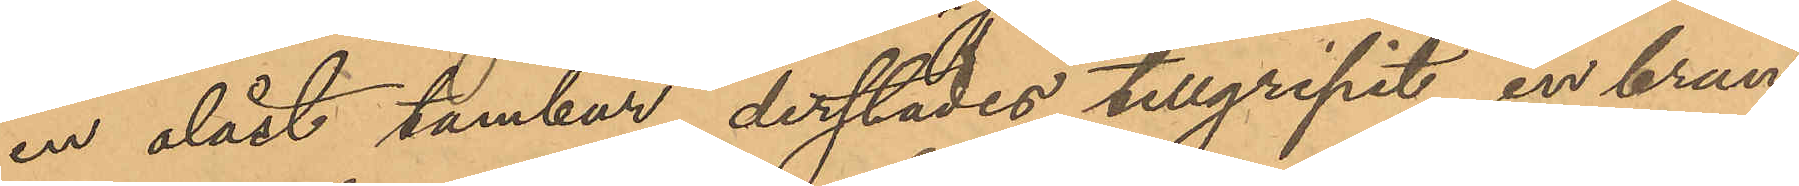en olåst tambur, derstädes tillgripit en brun
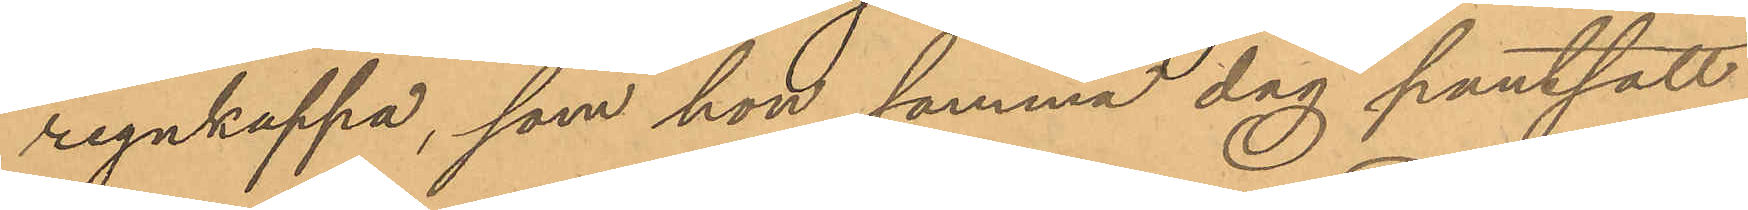regnkappa, som hon samma dag pantsatt
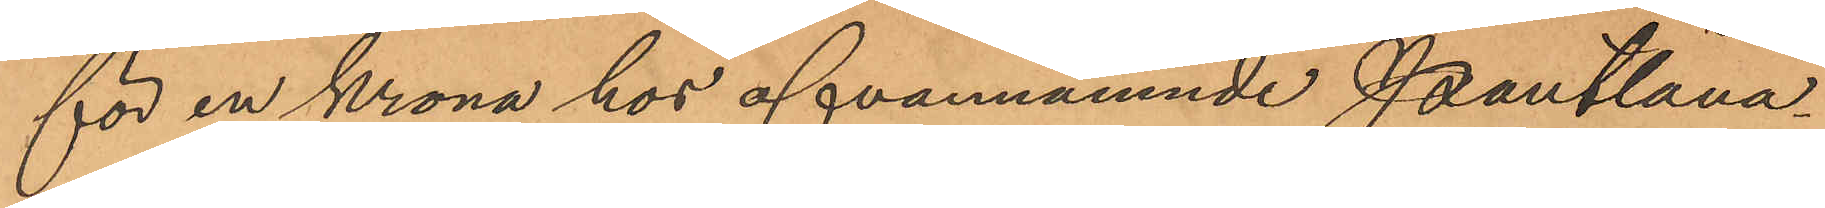för en krona hos ofvannämnde Pantlåna¬
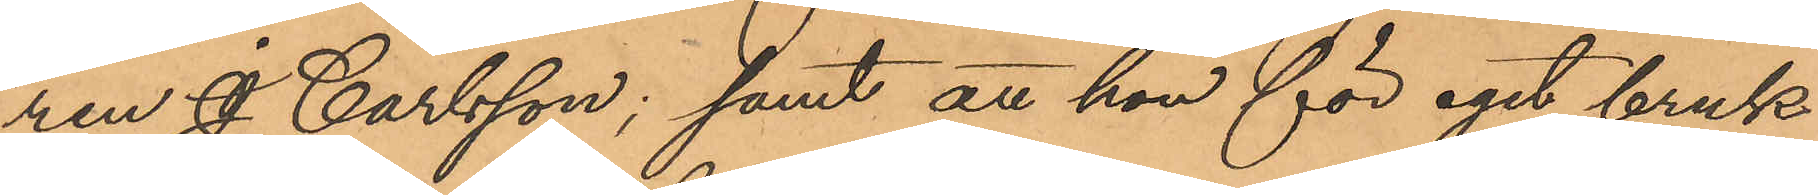ren J. Carlsson; samt att hon för eget bruk
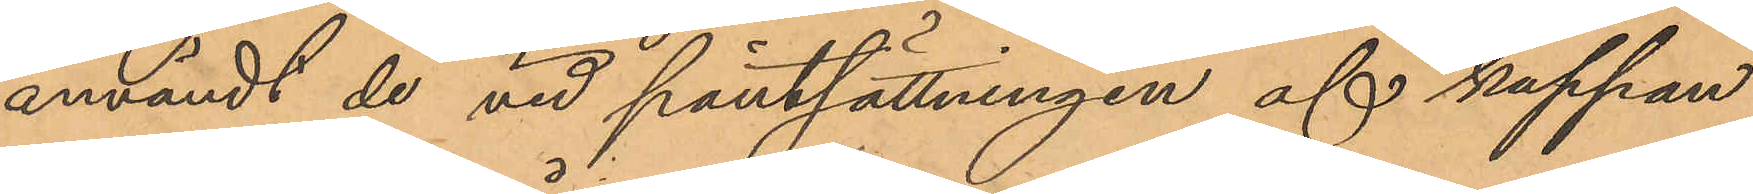användt de vid pantsättningen af kappan
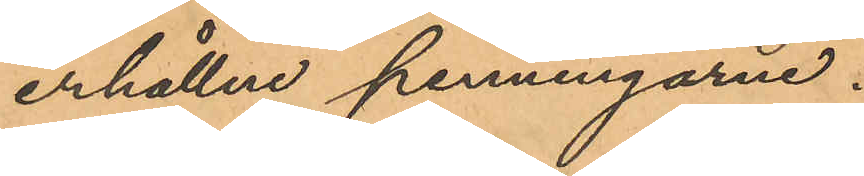erhållne penningarne.
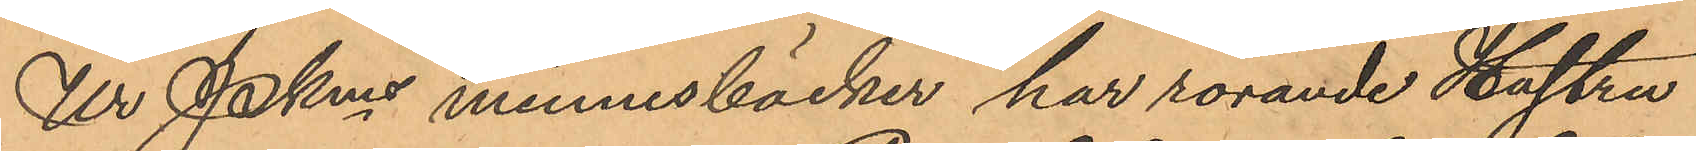Ur PKns minnesböcker har rörande Hustru
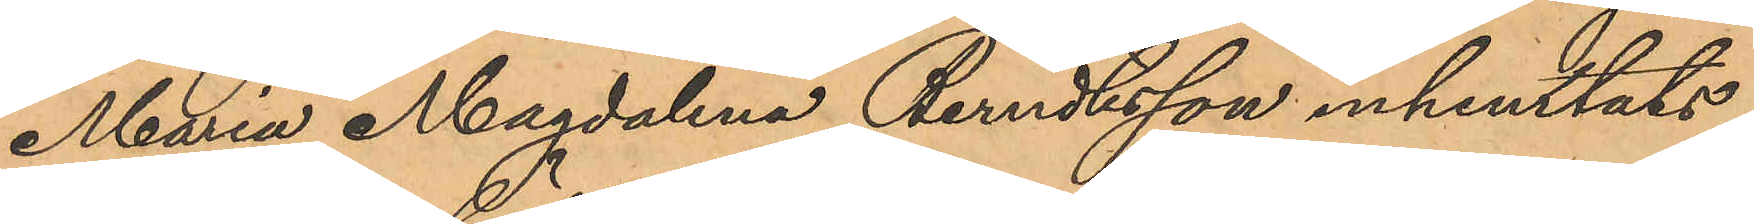Maria Magdalena Berndtsson inhemtats,
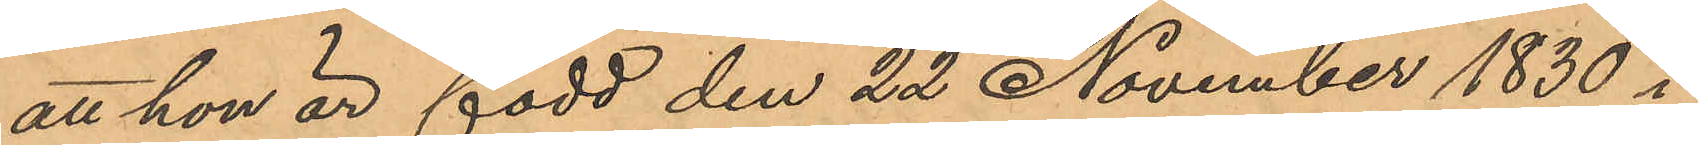att hon är född den 22 November 1830 i
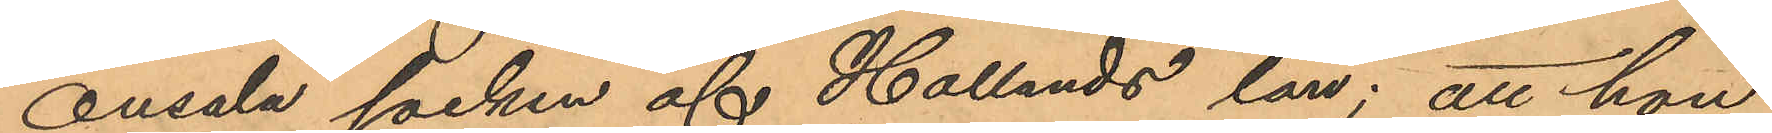Onsala socken af Hallands län; att hon
